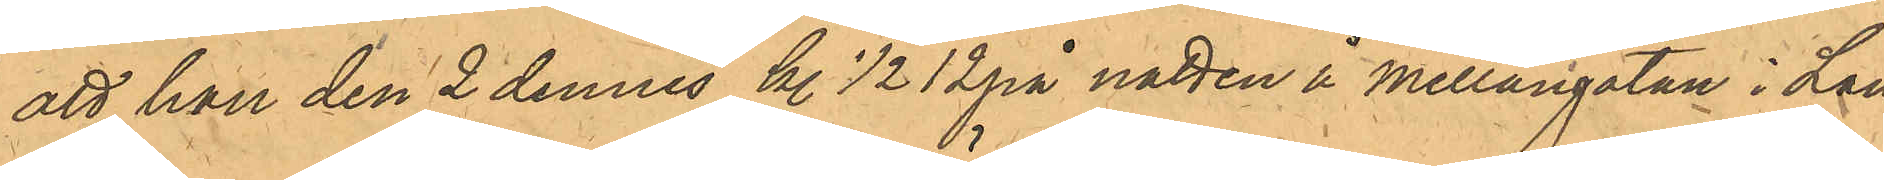att han den 2 dennes kl. 1/2 12 på natten å Mellangatan i Lan¬
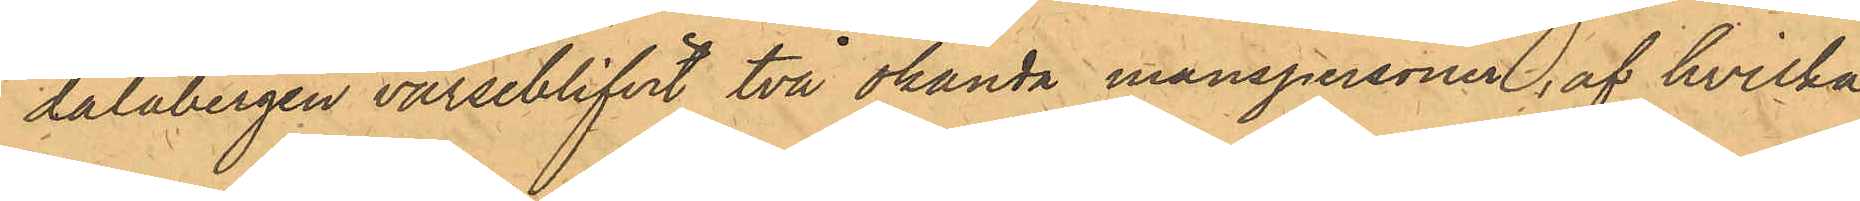dalabergen varseblifvit två obekanta manspersoner, af hvilka
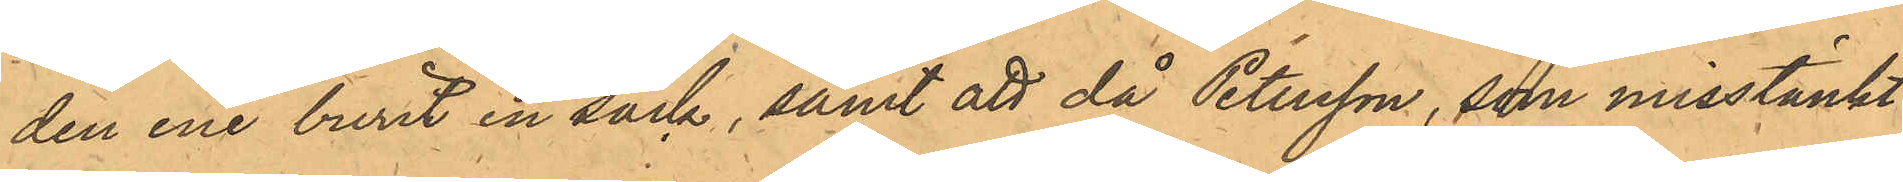den ene burit en säck, samt att då Petersson, som misstänkt
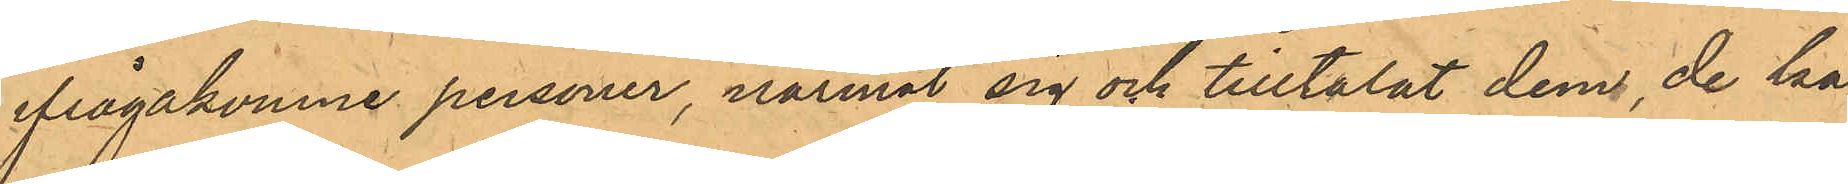ifrågakomne personer, närmat sig och tilltalat dem, de ka¬
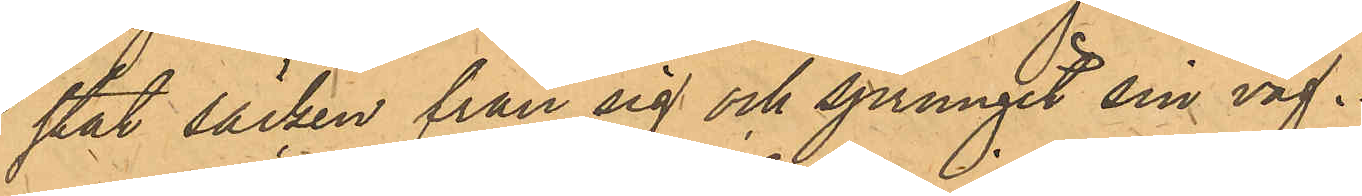stat säcken från sig och sprungit sin väg.
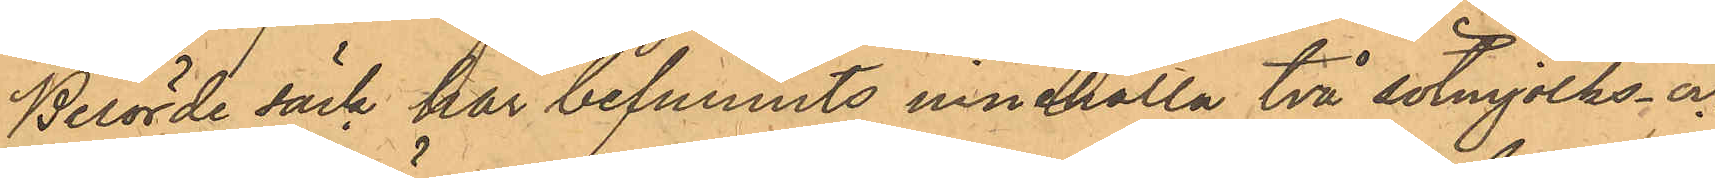Berörde säck har befunnits innehålla två sötmjölks- och
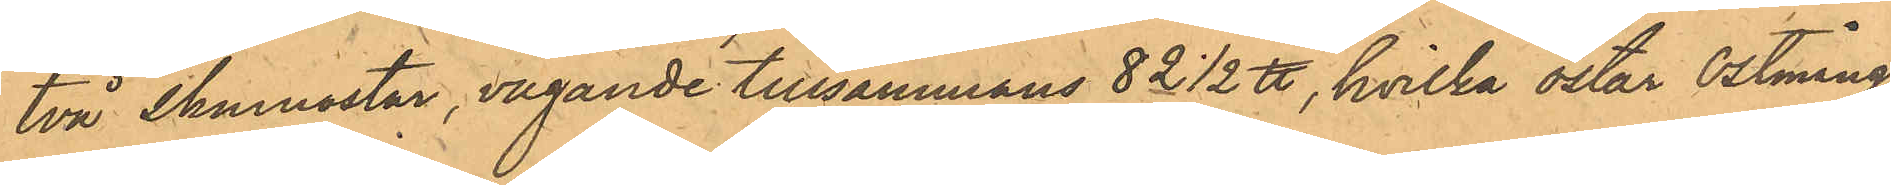två skumostar, vägande tillsammans 82 1/2 ℔, hvilka ostar Ostmång¬
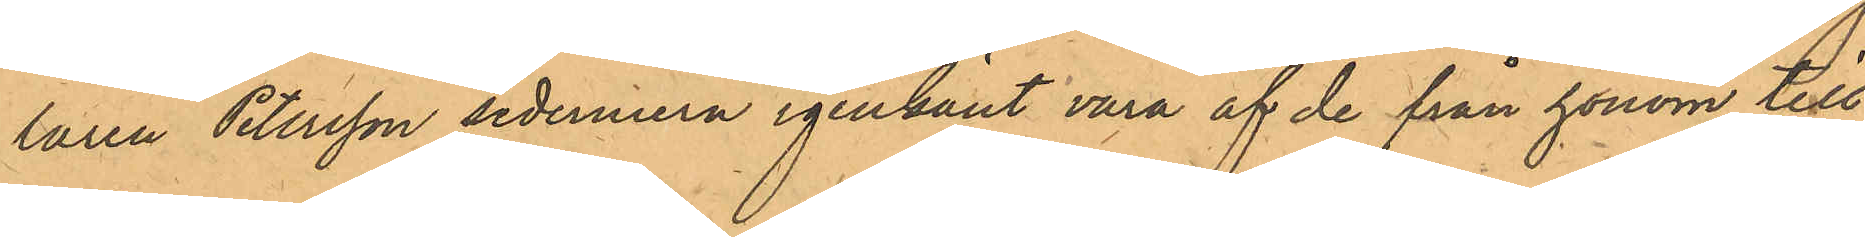laren Petersson sedermera igenkänt vara af de från honom till¬
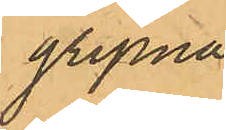gripna.
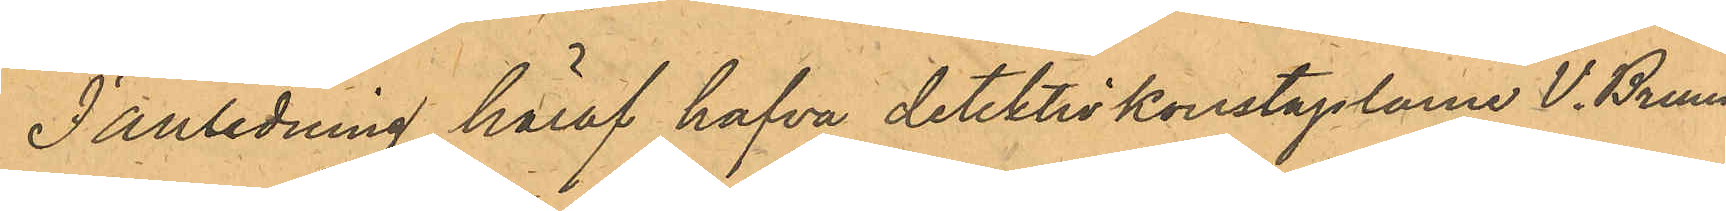I anledning häraf hafva detektivkonstaplarna V. Bruun
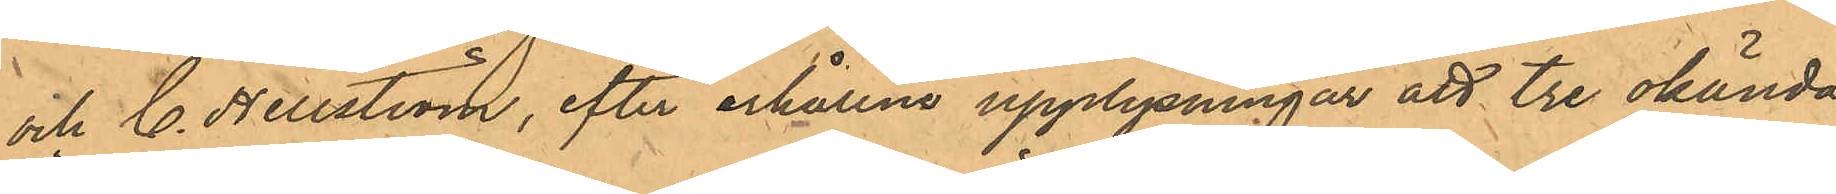och C. Hellström efter erhållna upplysningar att tre okända
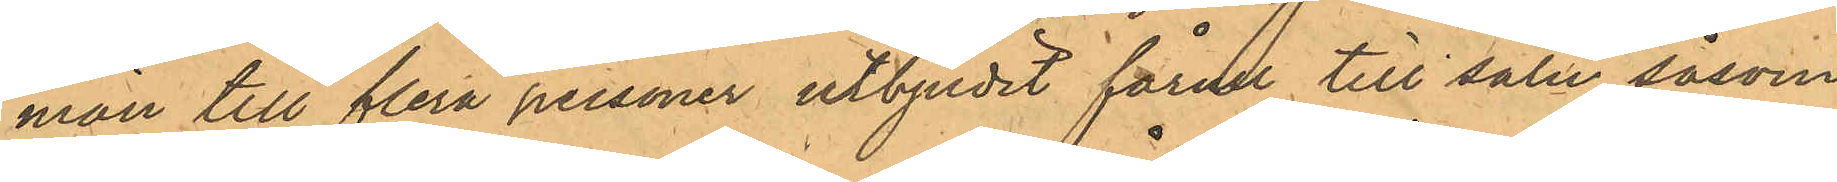män till flera personer utbjudit fårull till salu, såsom
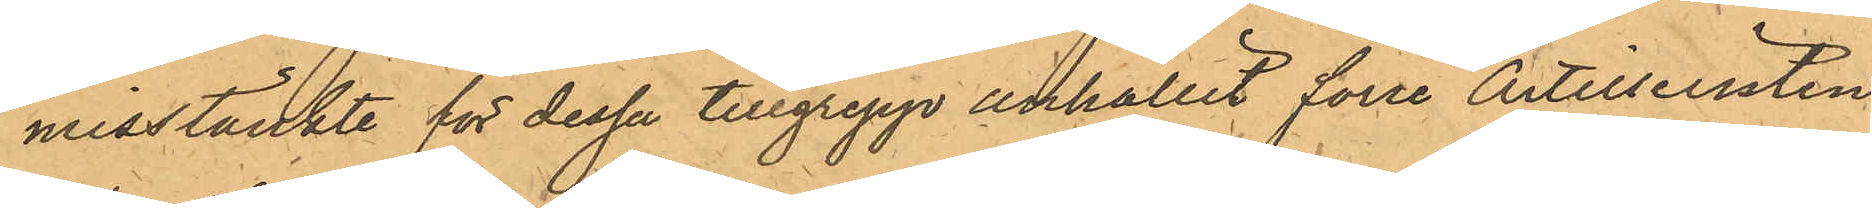misstänkte för dessa tillgrepp anhållit förre Artilleristen
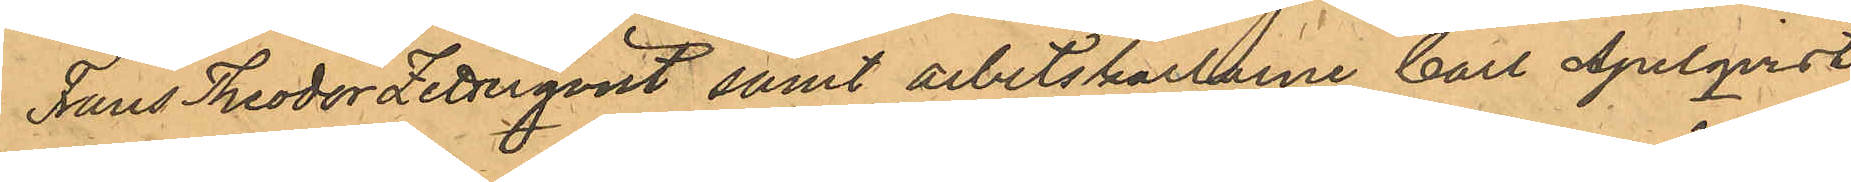Frans Theodor Zetterqvist samt arbetskarlarne Carl Apelqvist
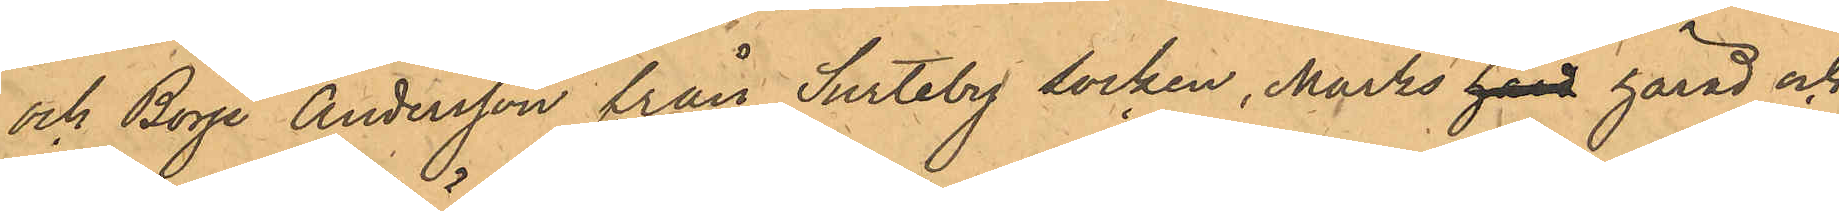och Börje Andersson fårn Surteby Socken, Marks härd härad och
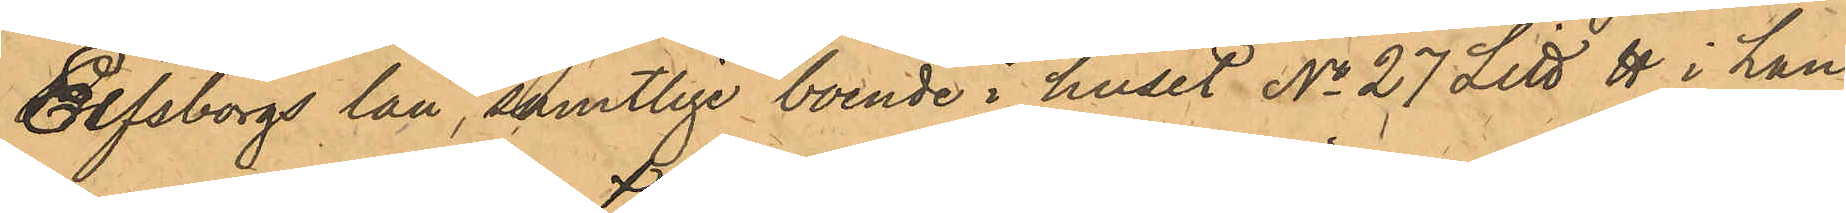Elfsborgs län, samtlige boende i huset No 27 Litt H i Lan¬
